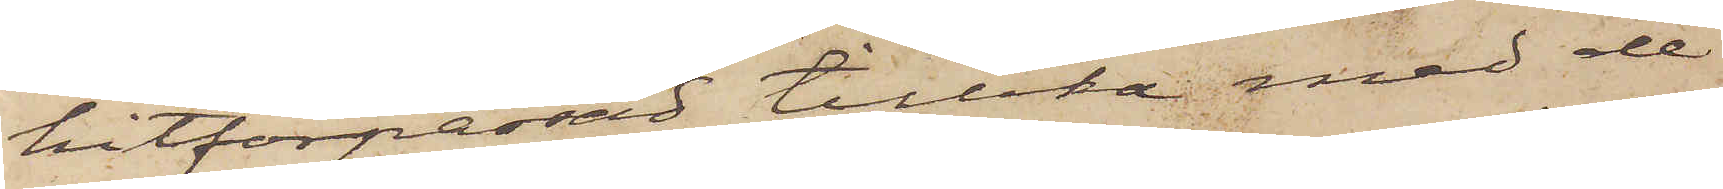hitförpassad tillika med de
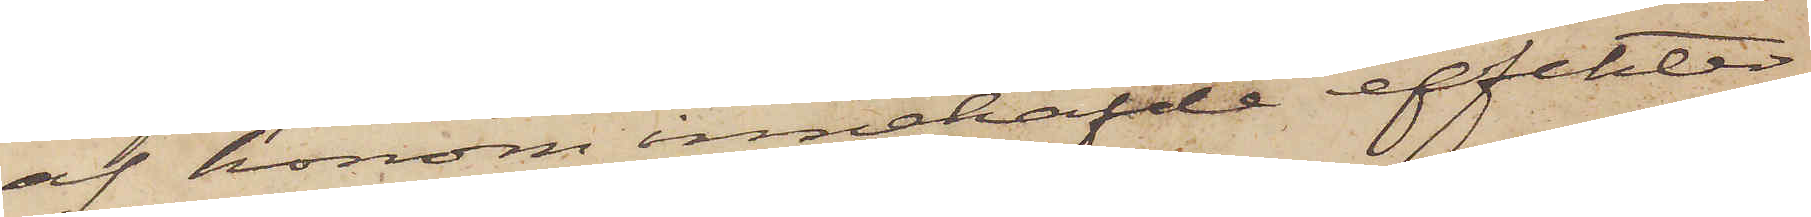af honom innehafde effekter
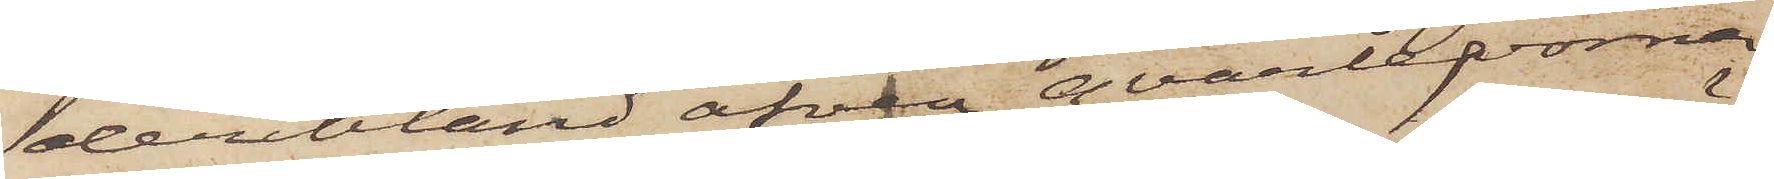deribland äfven qvarlevorna
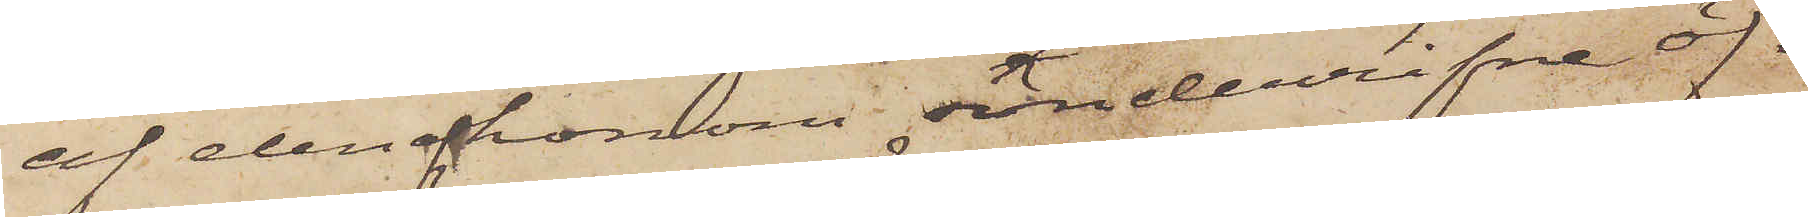af den af honom sönderrifna öf¬
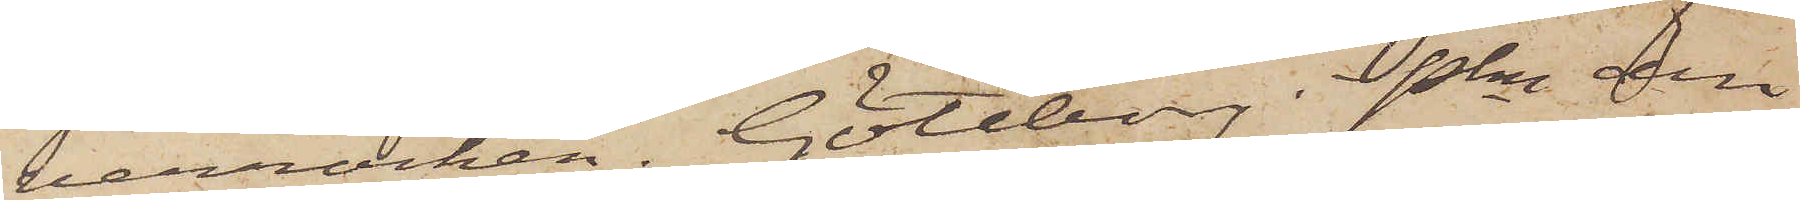verrocken. Göteborg Pkn den¬
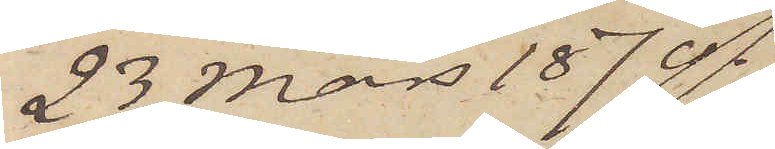23 Mars 1870.
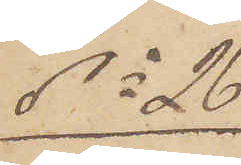No 26
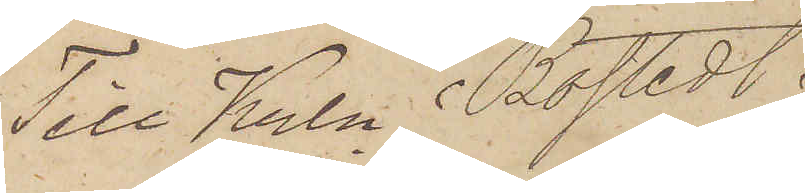Till Krln Bostedt.
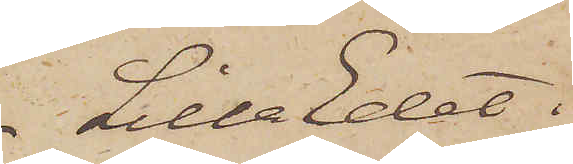Lilla Edet.
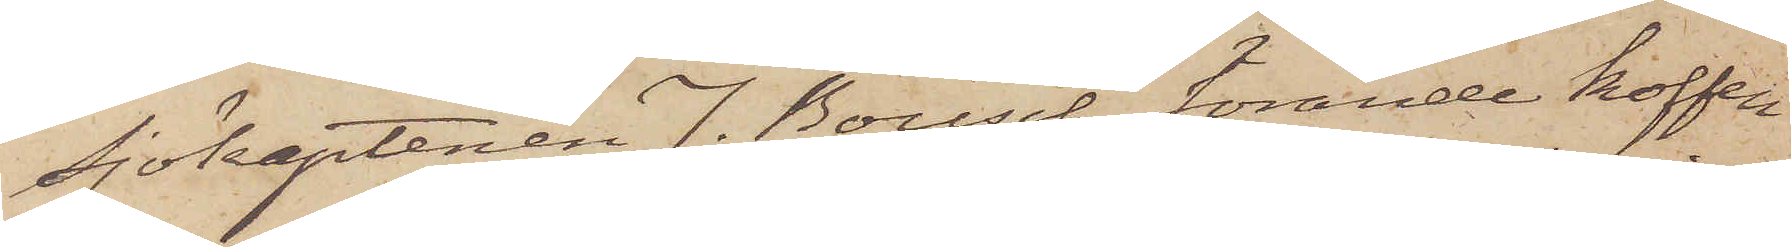Sjökaptenen J. Bousch förande koffen
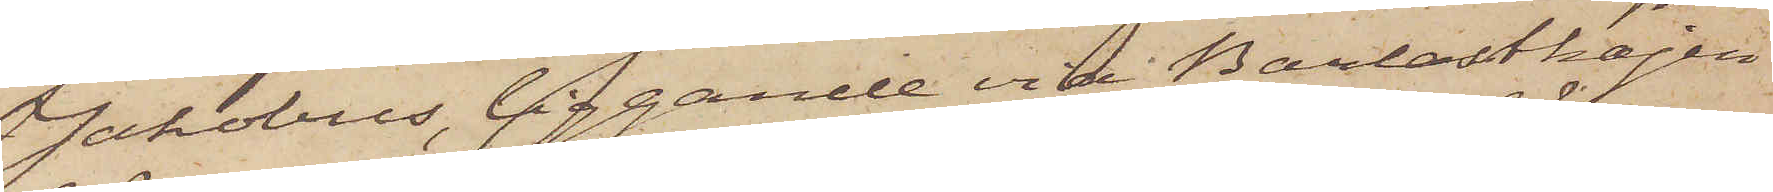Jakobus, liggande vid Barlastkajen
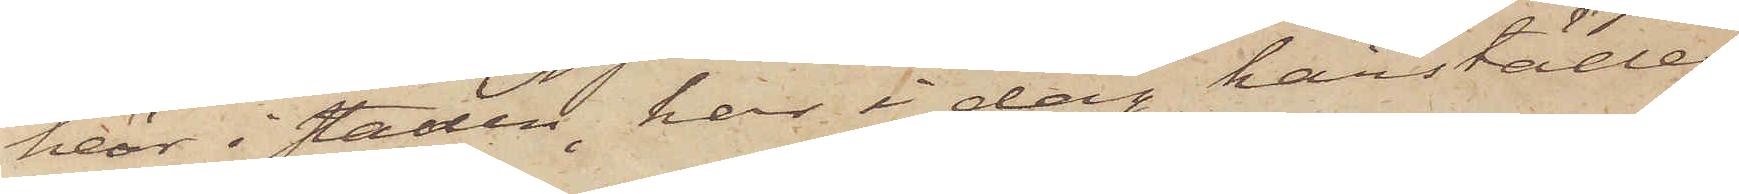här i staden, har i dag härstädes
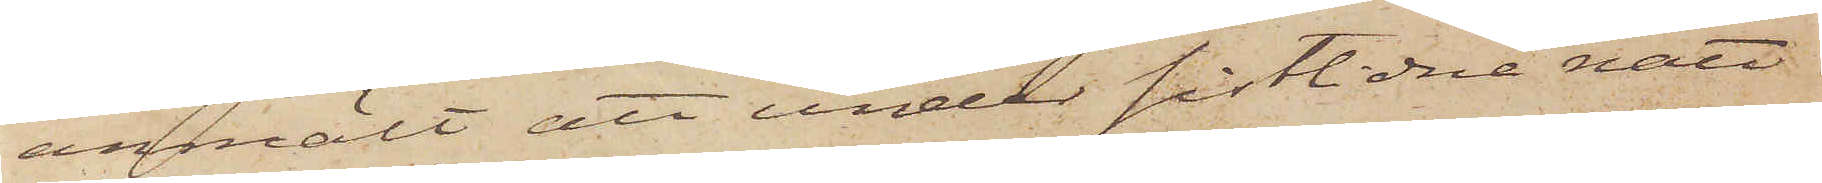anmält att under sistlidne natt
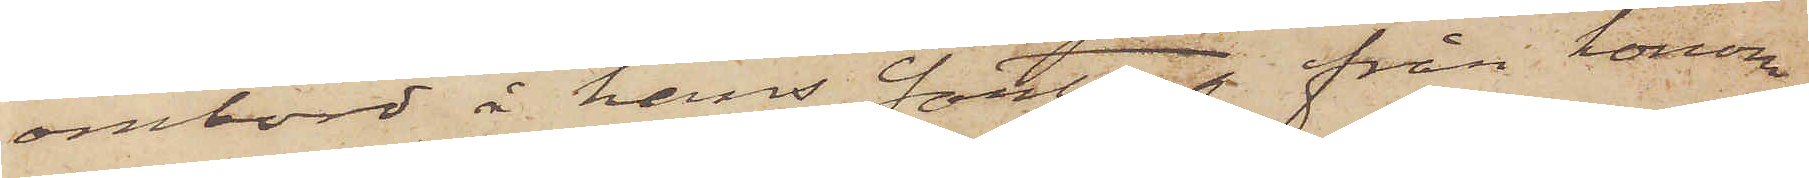ombord å hans fartyg från honom
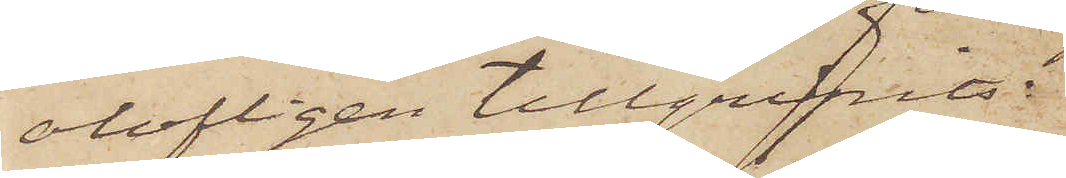olofligen tillgripits:
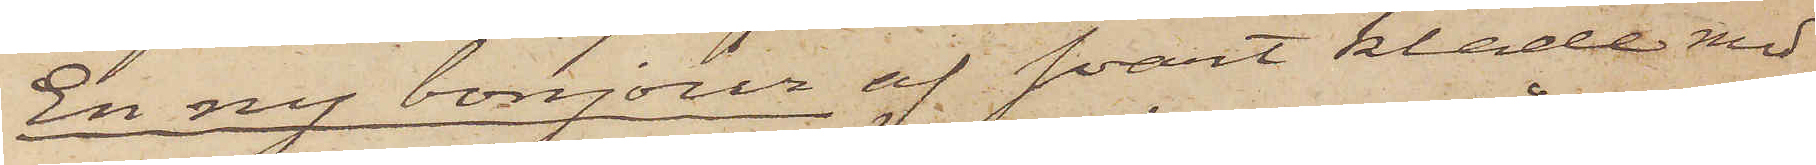En ny bonjour af svart kläde med
